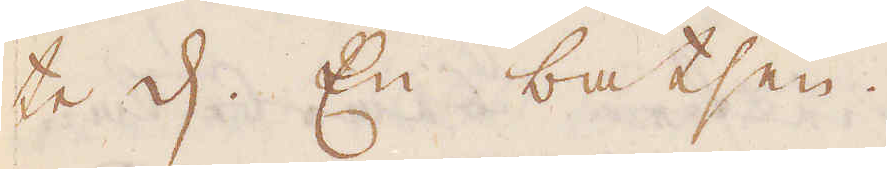te d: En batsen.
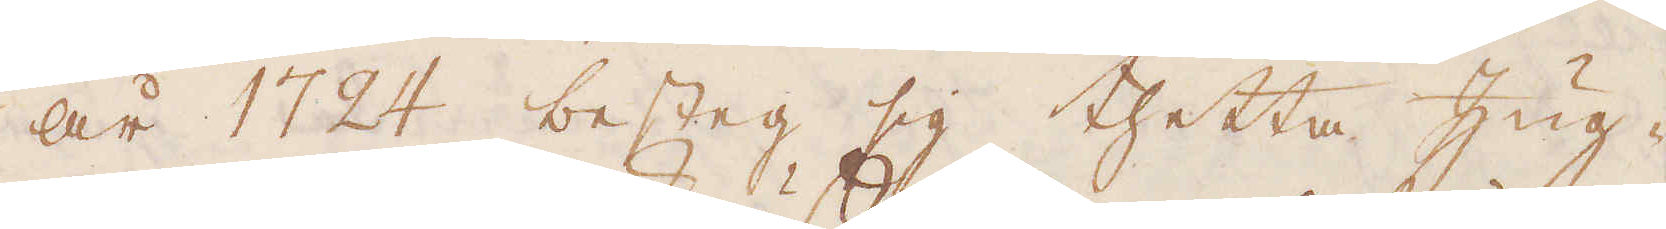År 1724 besteg sig thetta Zug-
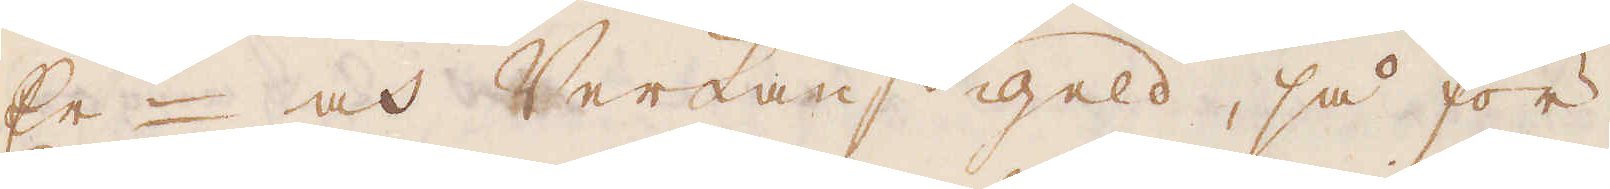Er- och Verkauff geld, så för
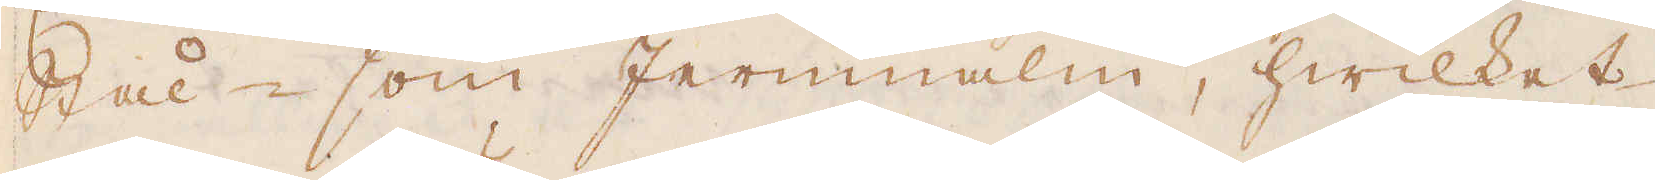Stål- som Jernmalm, hwilket
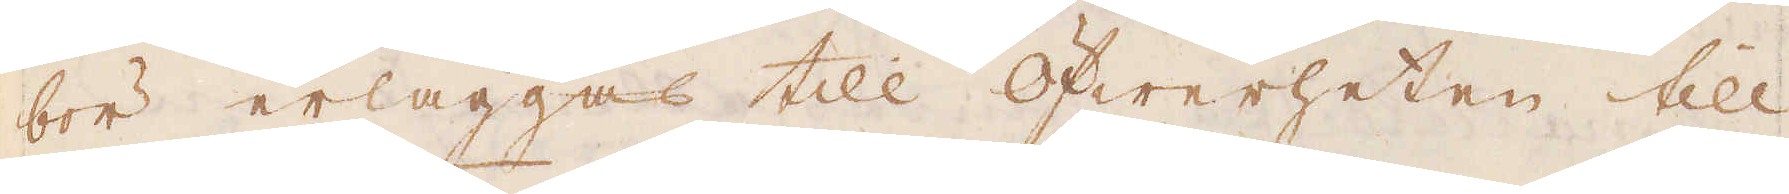bör erläggas till Öfwerheten till
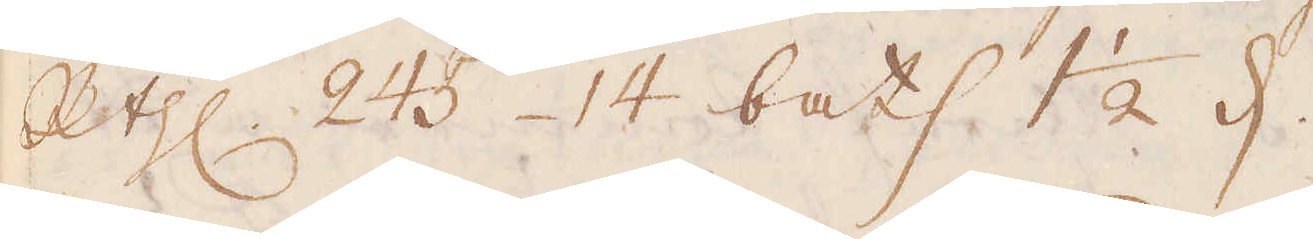R:thlr 245 14 bats 1 1/2 d.
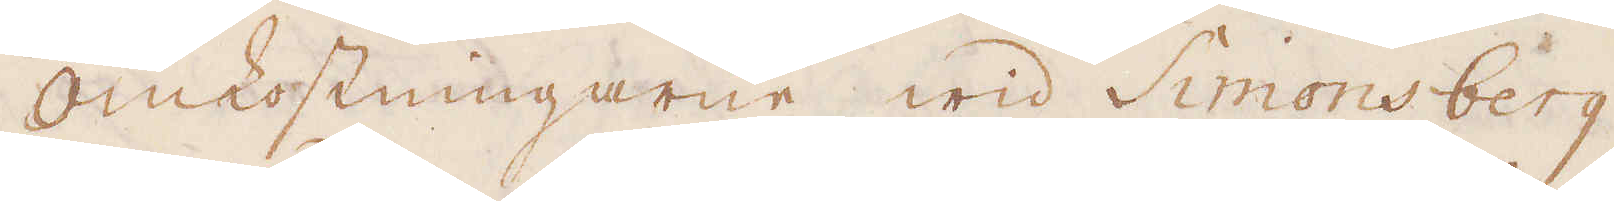Omkostningarne wid Simons berg
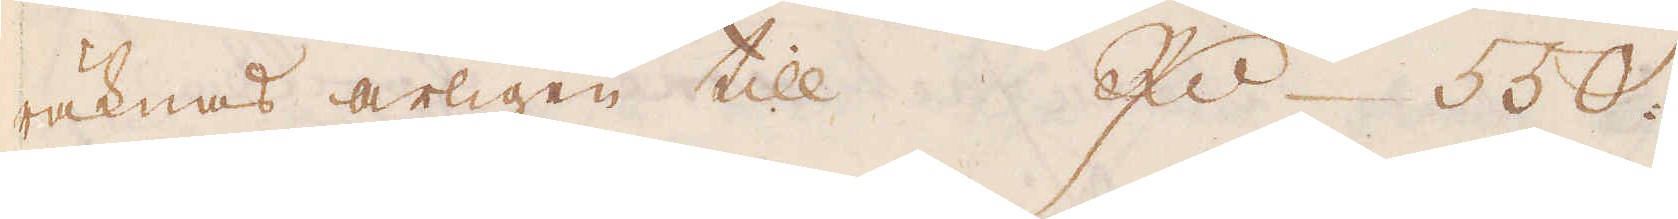räknas årligen till Rdr 550.
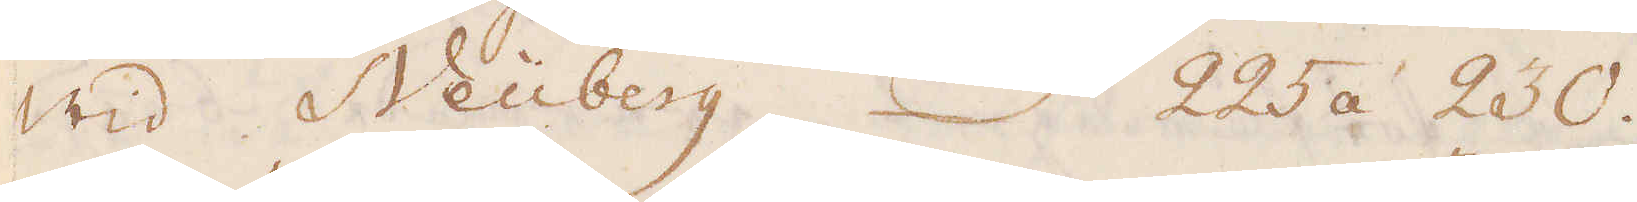Wid Neüberg 225 á 230.
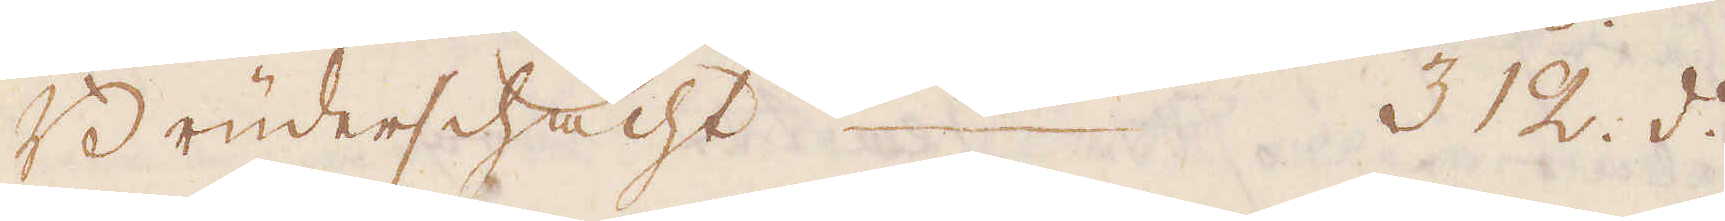Brüderschacht. 3 12 d:o
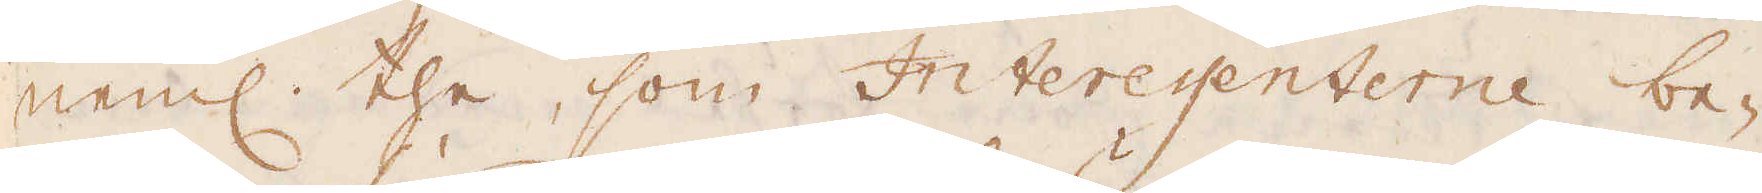neml the, som Interessenterne be-
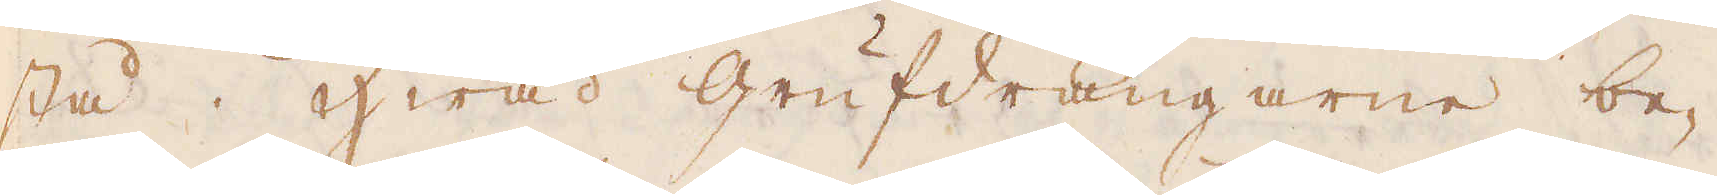stå Hwad Grufdrängarne be-
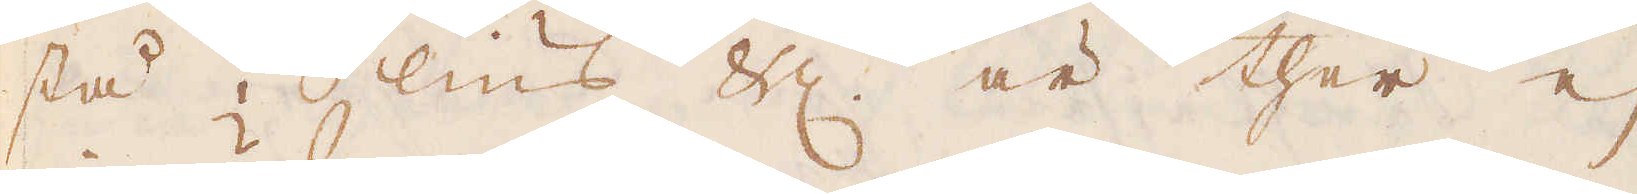stå i lius &c är ther ej
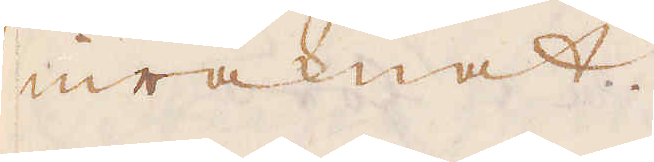inräknat.
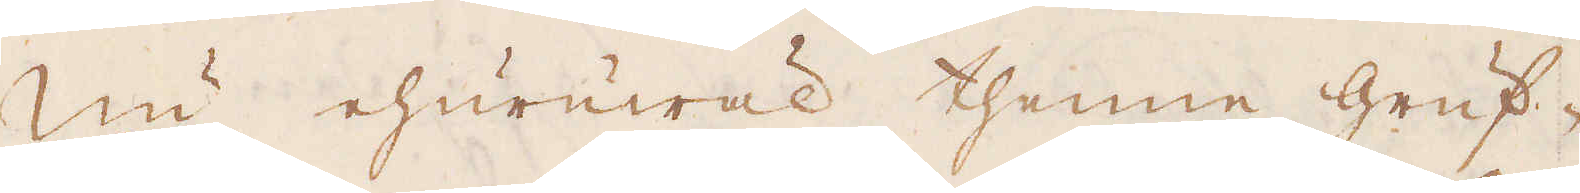Nu ehuruwäl thenne gruf-
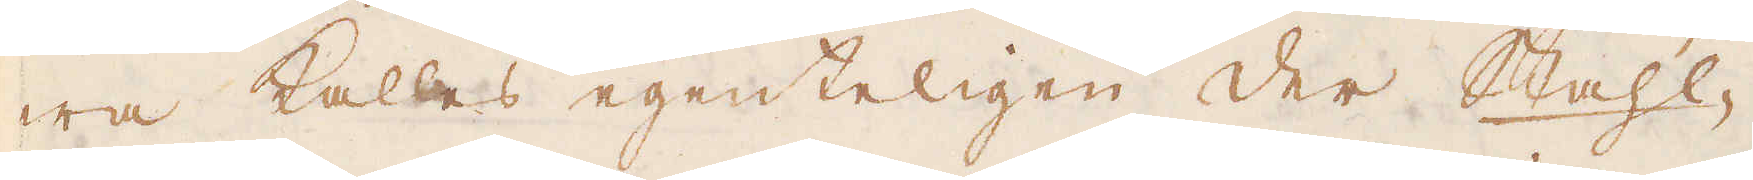wa kallas egenteligen der Stahl-
